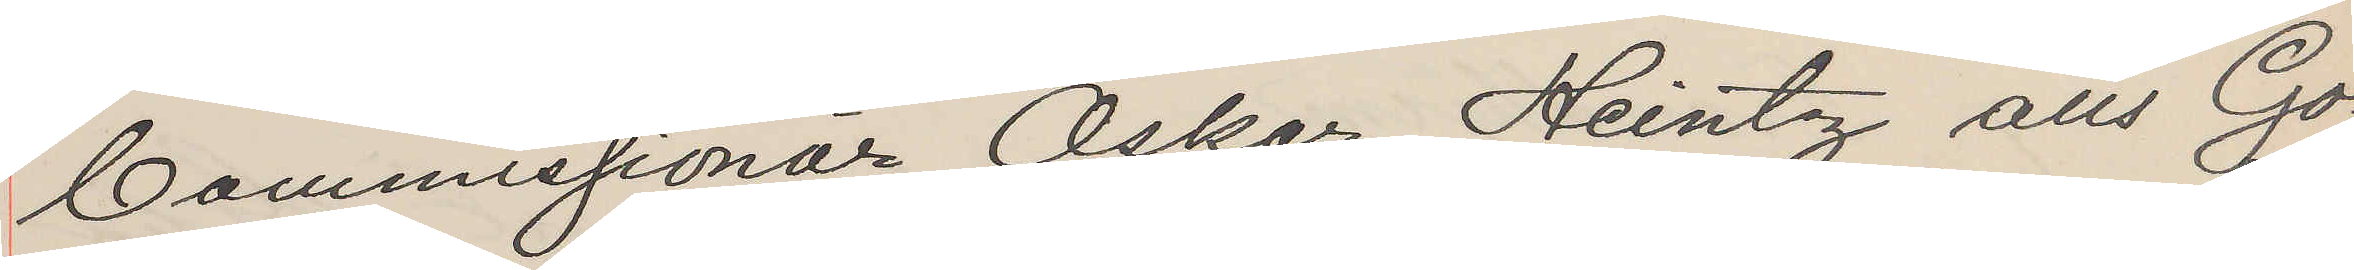Commissionär Oskar Heintz aus Go¬
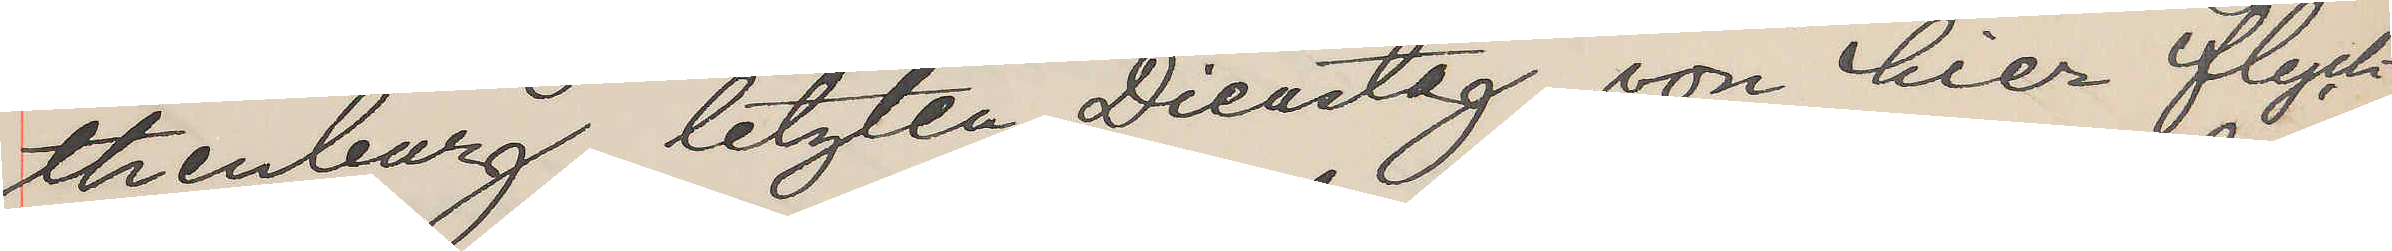thenburg, letzten Dienstag, von hier flych¬
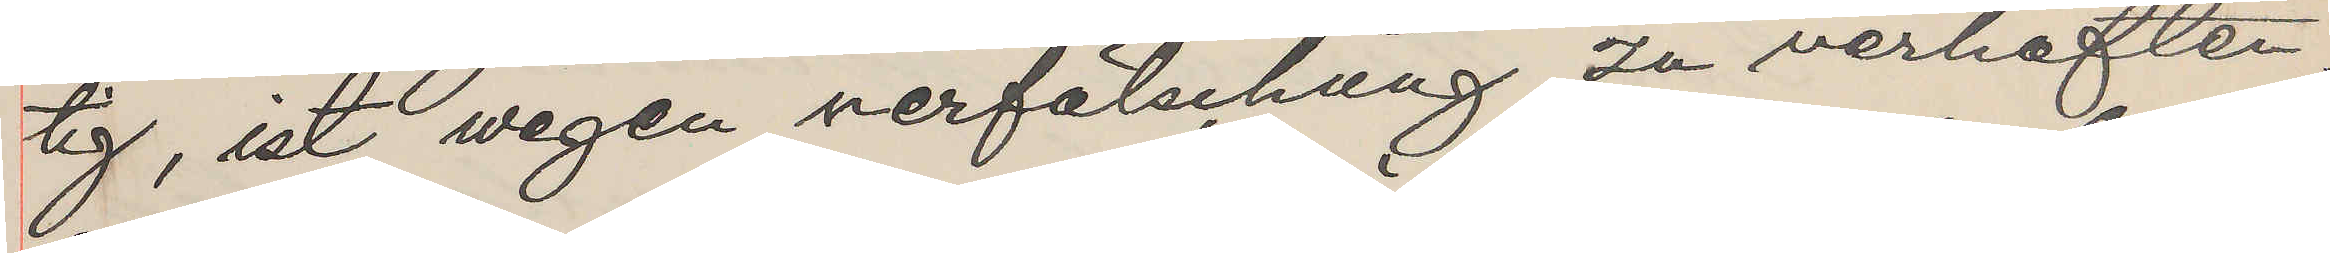tig, ist wegen verfälschung zu verhaften.
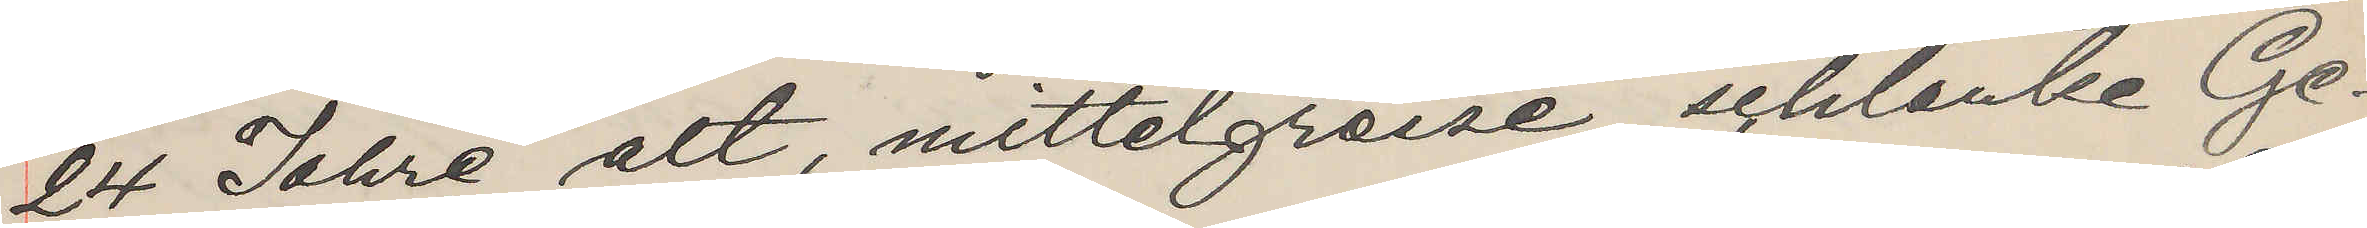24 Jahre alt, mittelgreise, schlanke Ge¬
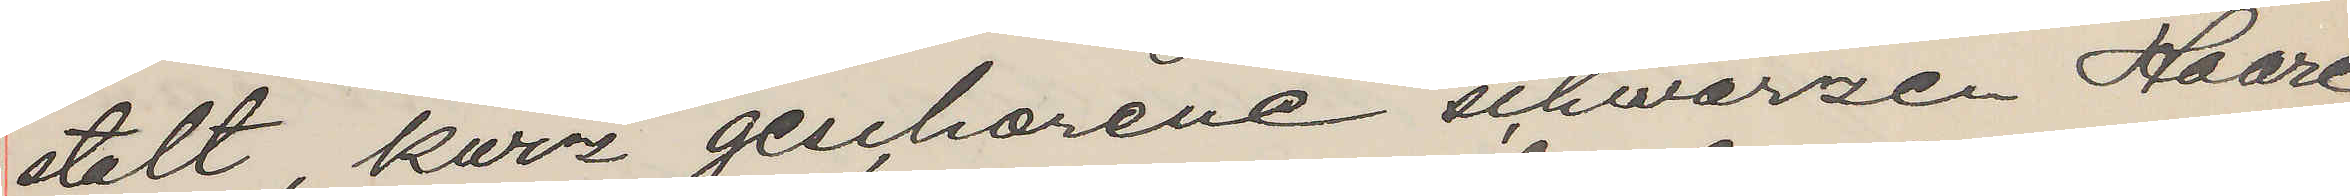stalt, kurz gescharene schwarzen Haare
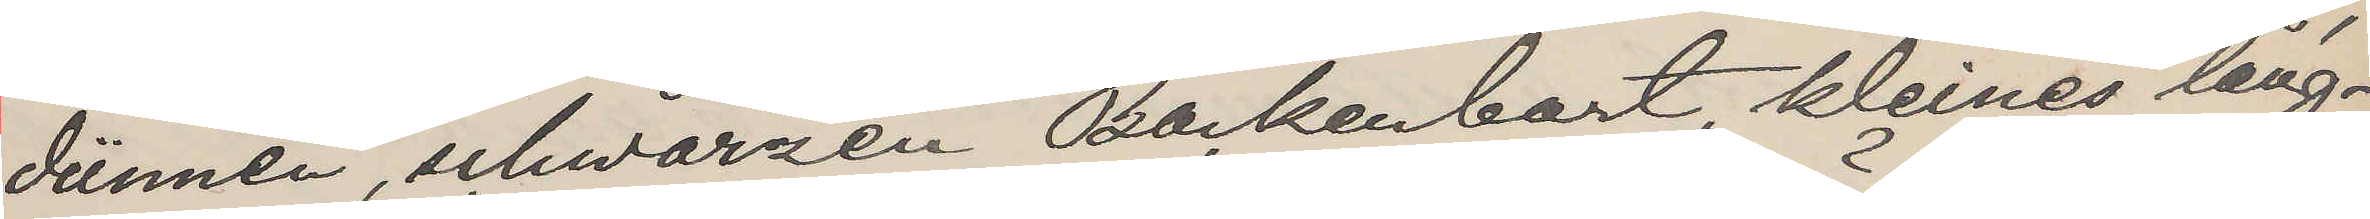dünnen, schwarzen Backenbart, kleines läng¬
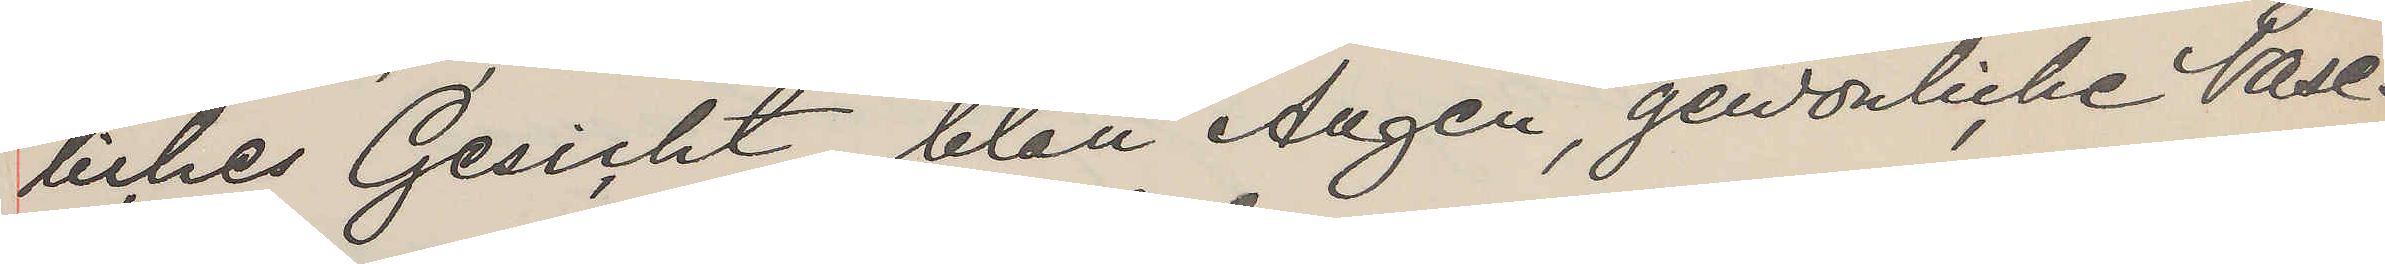liches Gesicht blau Augen, gewönliche Nase.
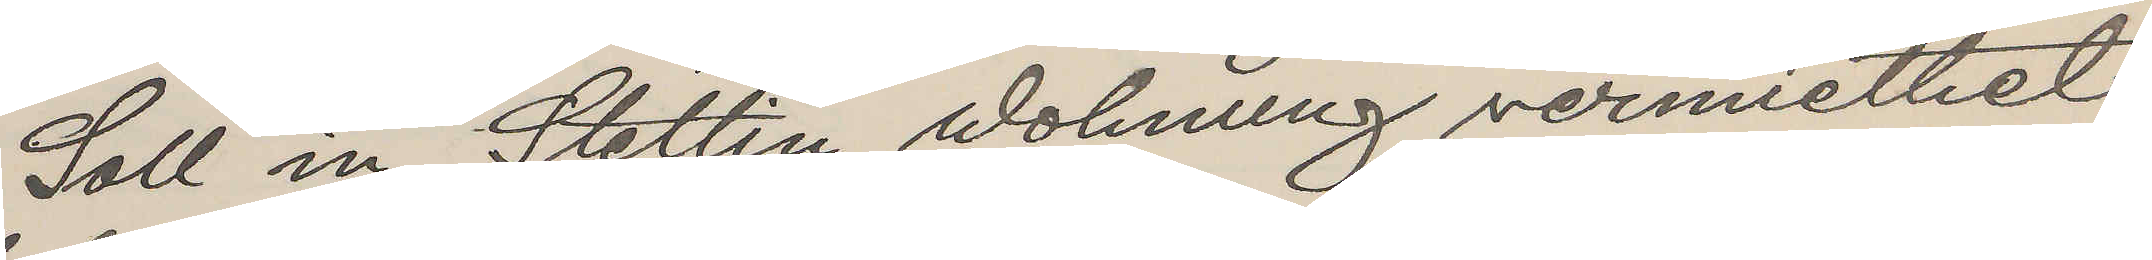Soll in Stettin Wohniung vermiettet
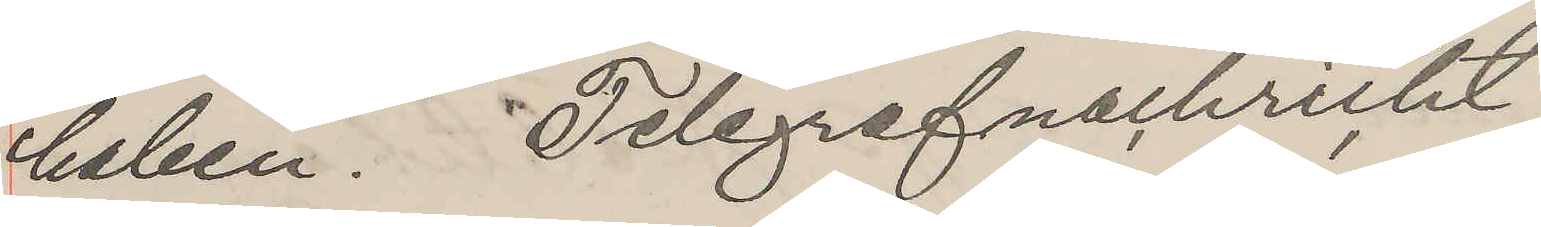haben. Telegrafnachricht.
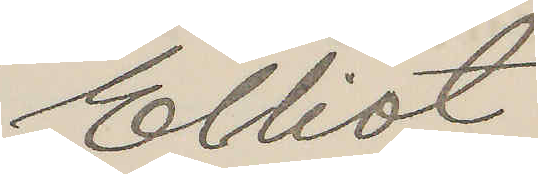Elliot
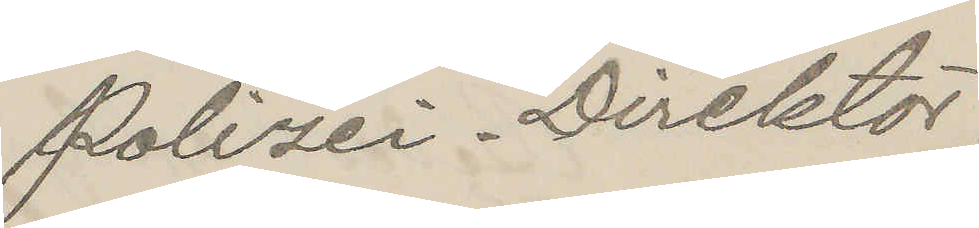Polizei-Direktör.
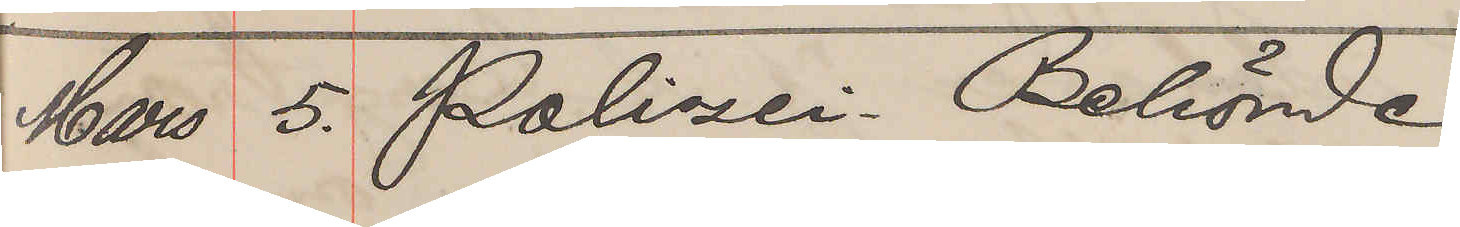Mars 5. Polizei Behörde
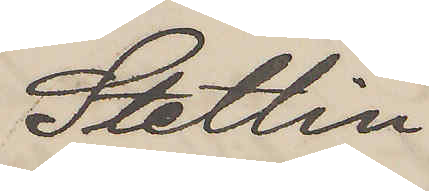Stettin
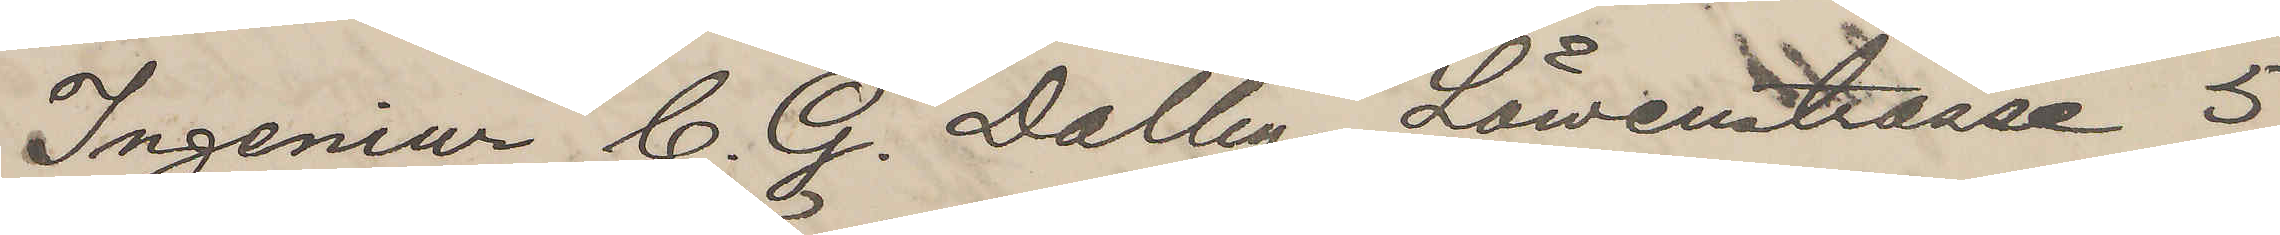Ingeniur C. G. Dalby, Löwenstraase 5,
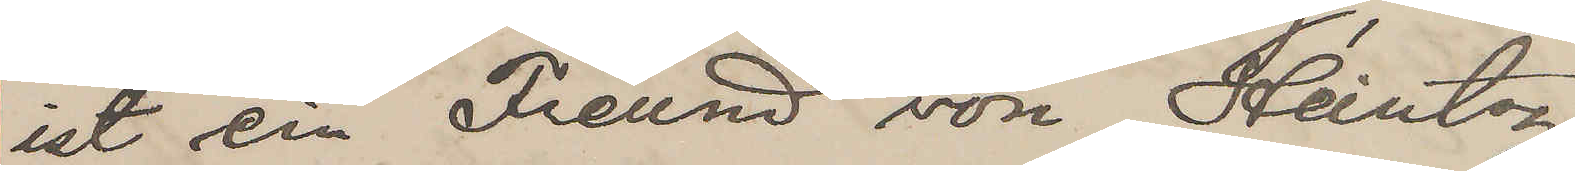ist ein Freund von Heintz.
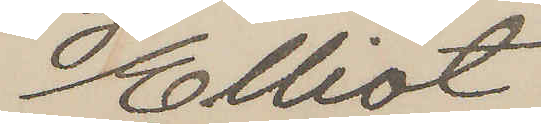Elliot
